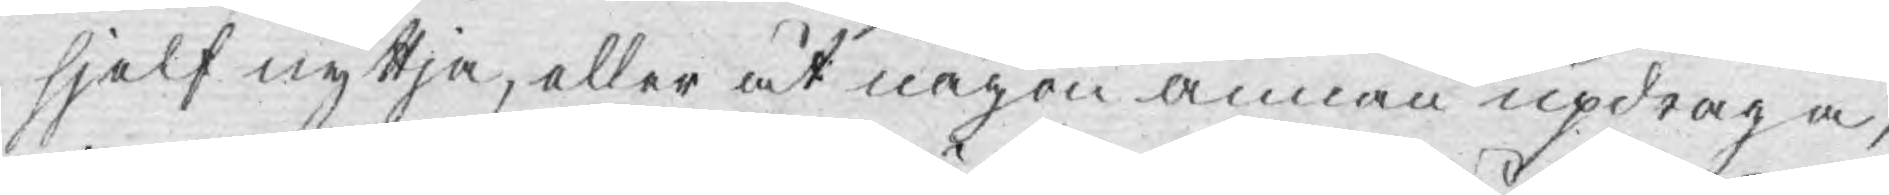sjelf nyttja, eller at någon annan updraga,
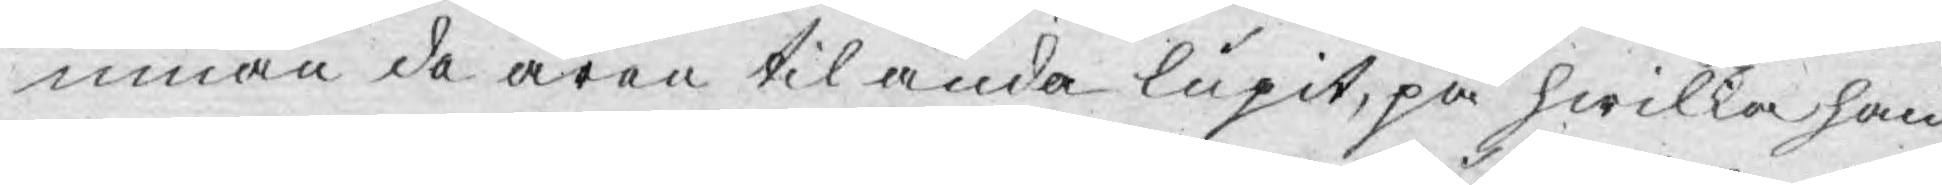innan de åren til ända lupit, på hwilka han
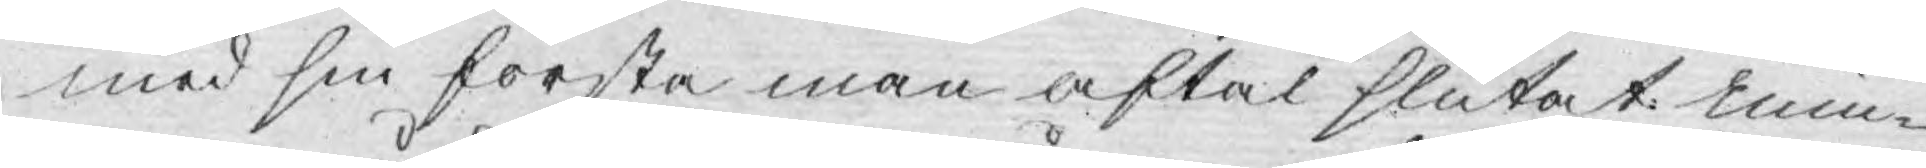med sin första man aftal slutat min¬
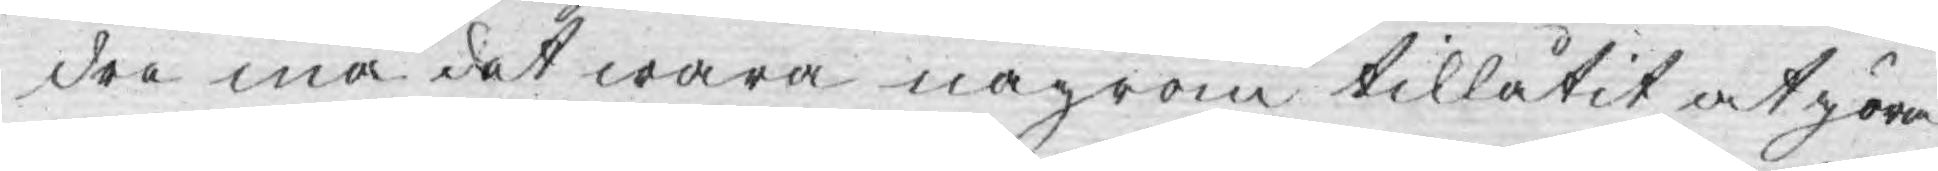dre må det wara någron tillåtit at göra
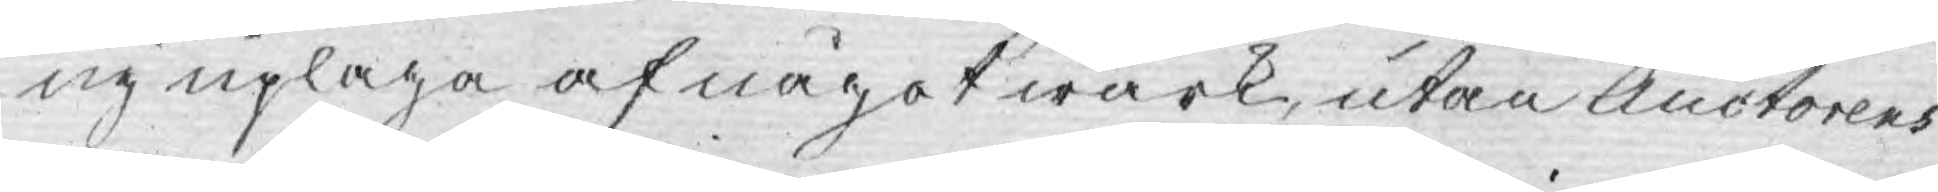ny uplaga af något wärk, utan Auctorens
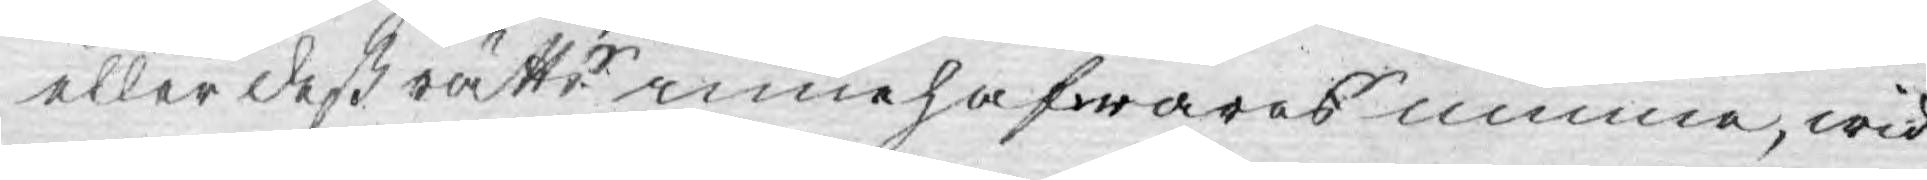eller deß rättr innehafwares minna, wid
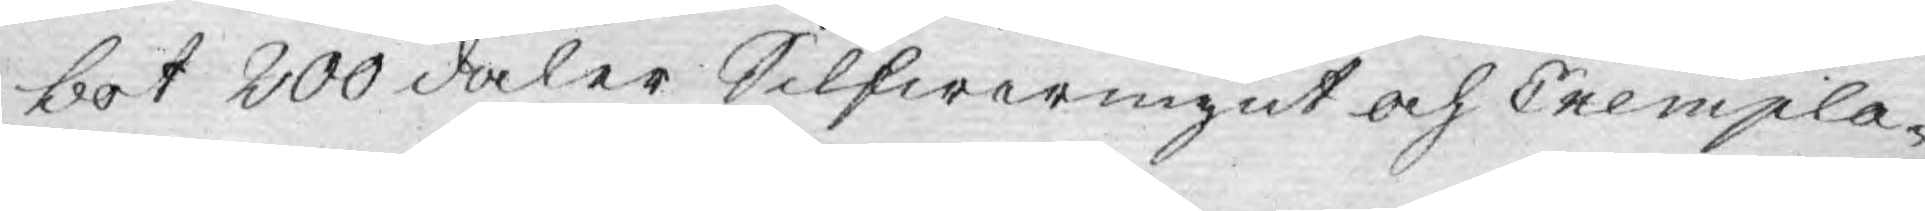bot 200 daler Silfwermynt och Exempla¬
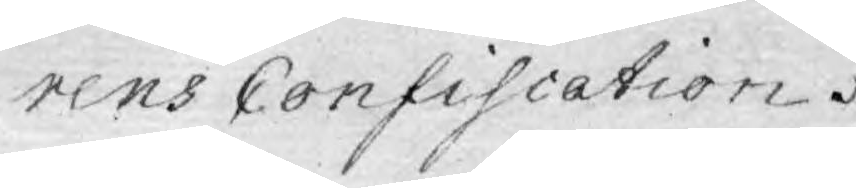rens Confiscation.
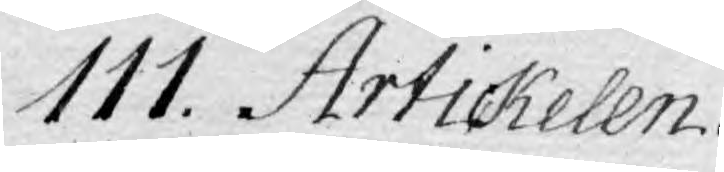111. Artickelen.
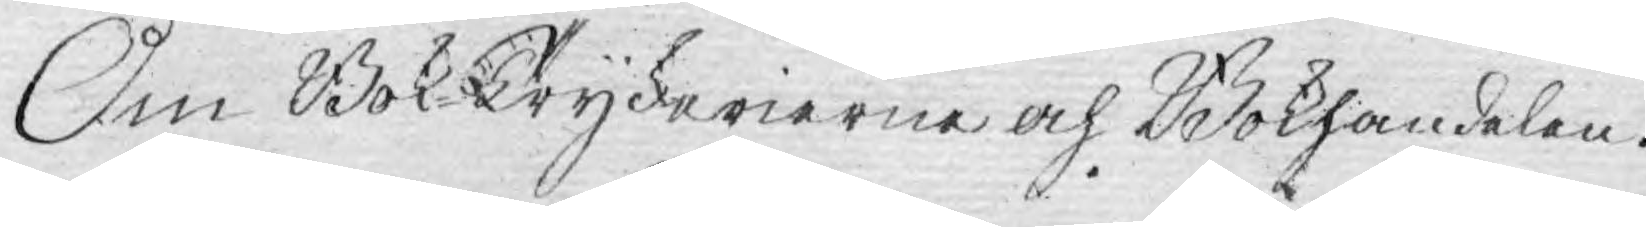Om Bok Tryckerierne och Bokhandelen.
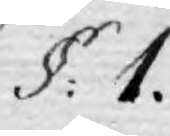§: 1.
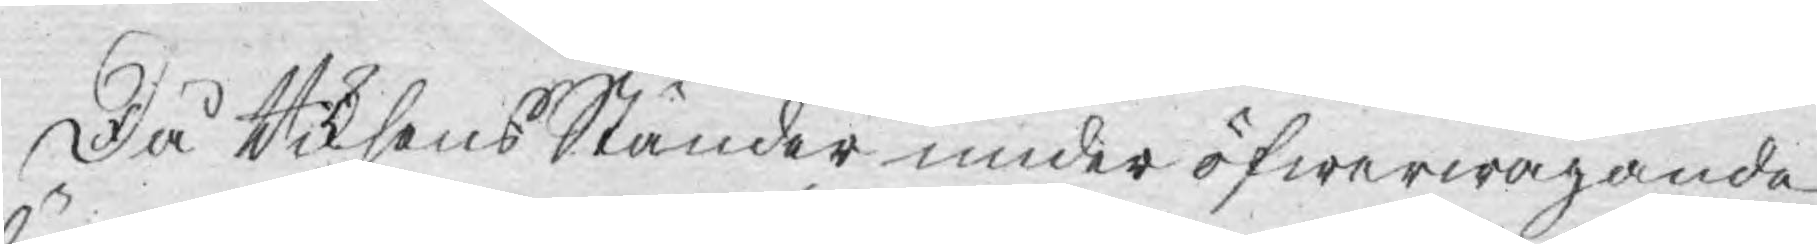Då Riksens Ständer under öfwerwägande
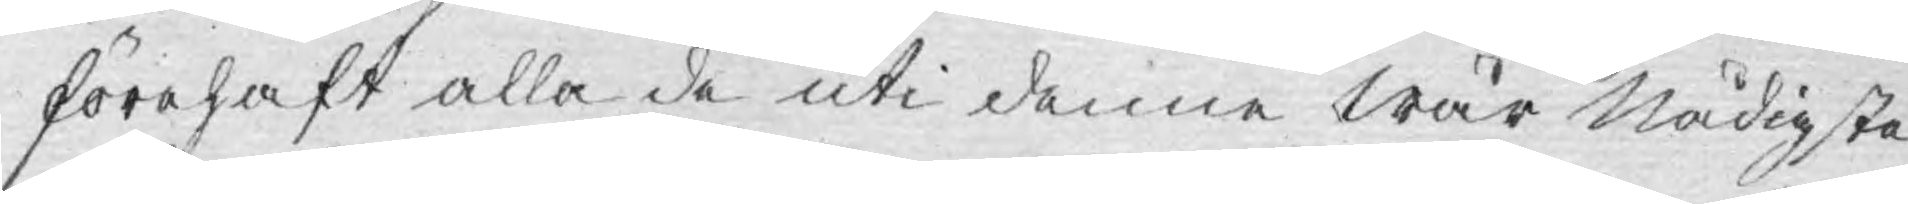förehaft alla de uti denne Wår Nådigsta
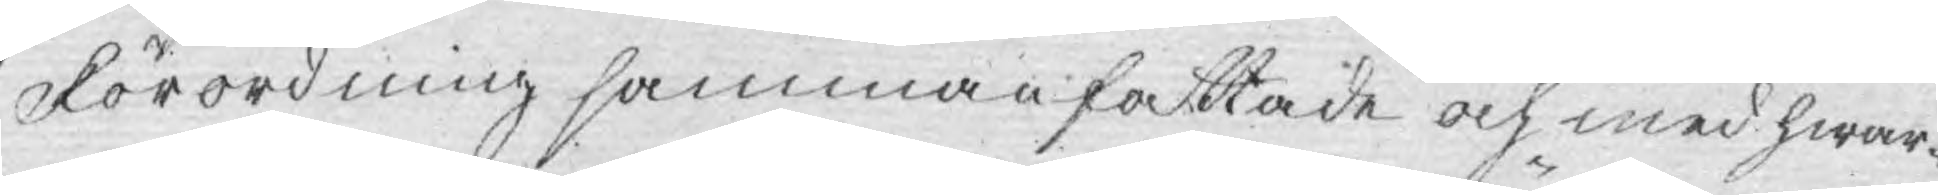Förordning sammanfattade och med hwar¬
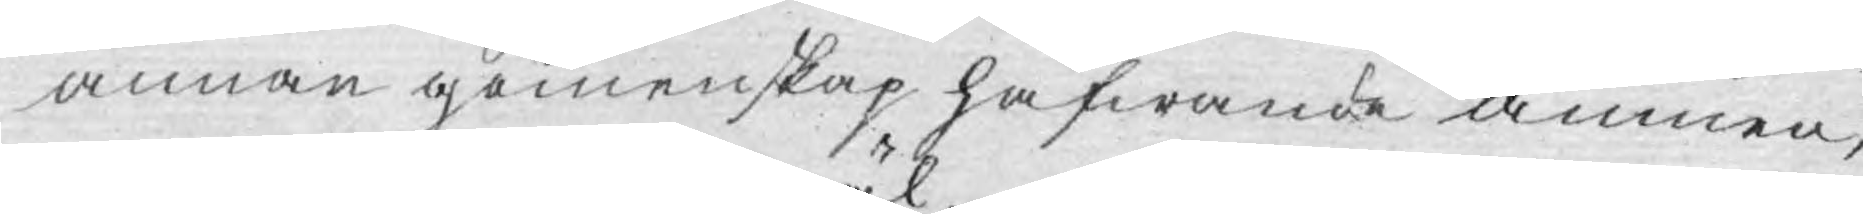annan gemenskap hafwande ämnen,
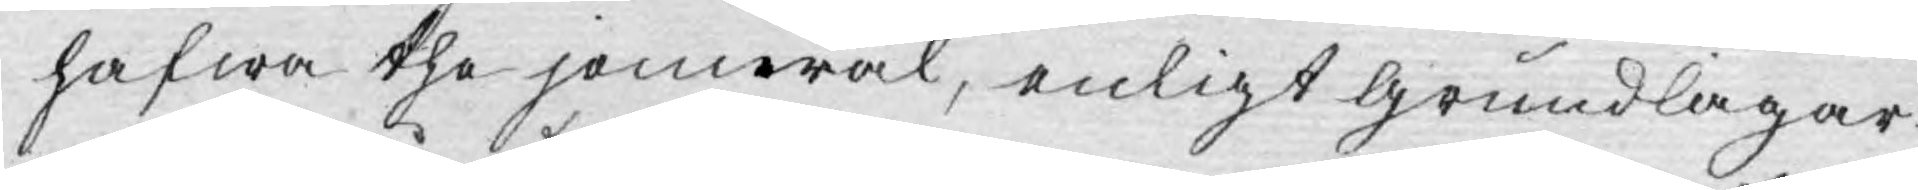hafwa the jemwäl, enligt grundlagar¬
